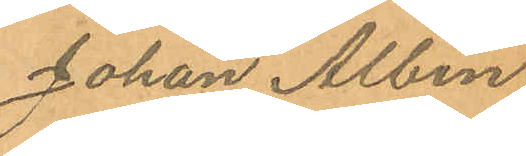Johan Albin
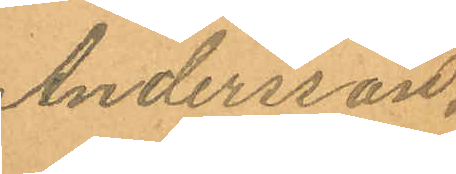Andersson.
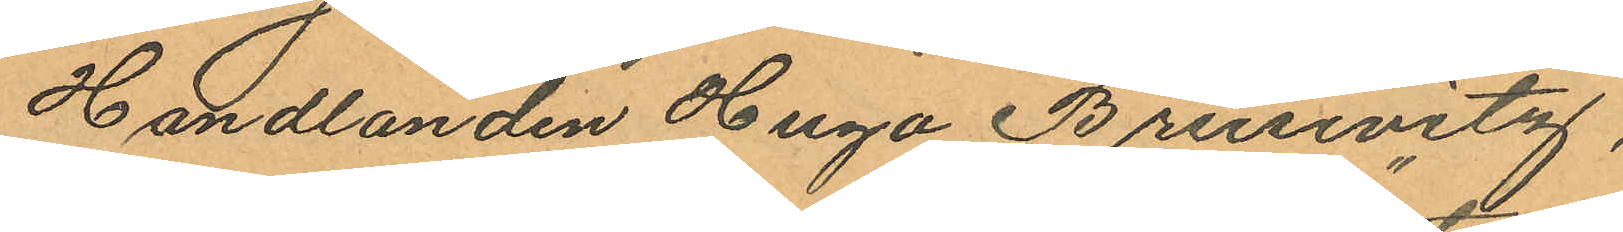Handlanden Hugo Brusevitz,
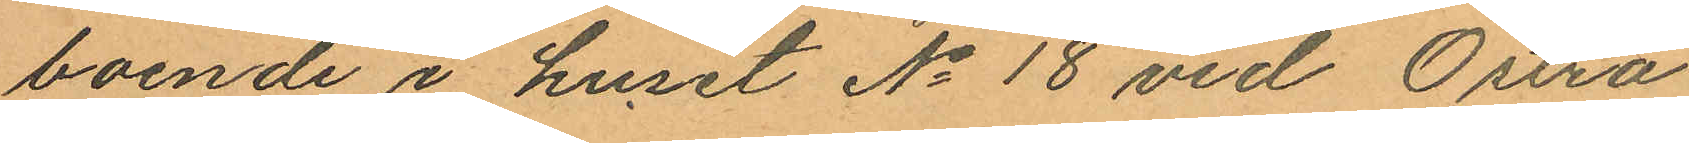boende i huset No 18 vid Östra
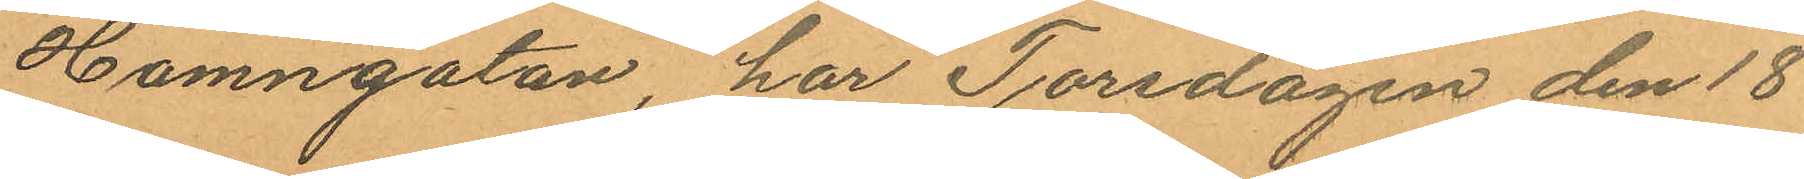Hamngatan, har Torsdagen den 18
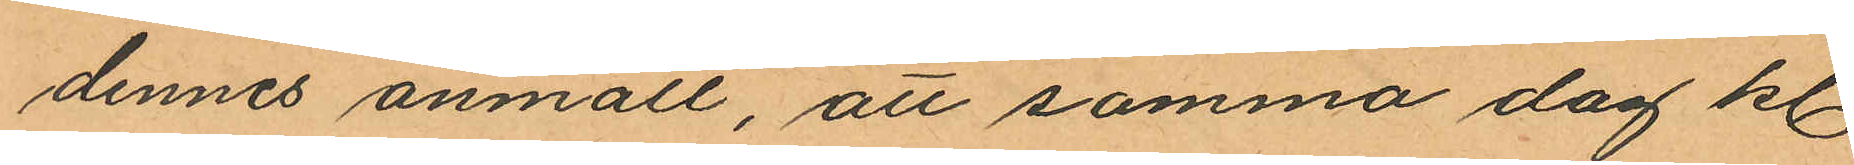dennes anmält, att samma dag kl.
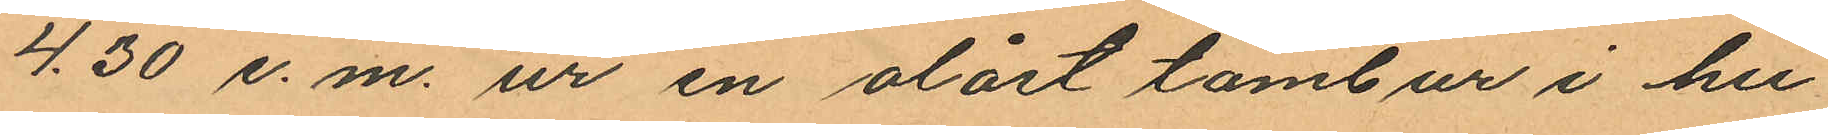4.30 e.m. ur en olåst tambur i hu¬
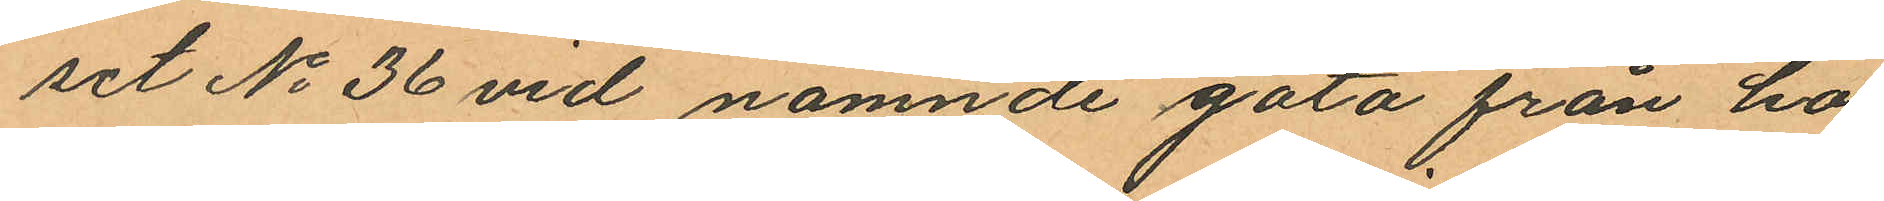set No 36 vid nämnde gata från ho¬
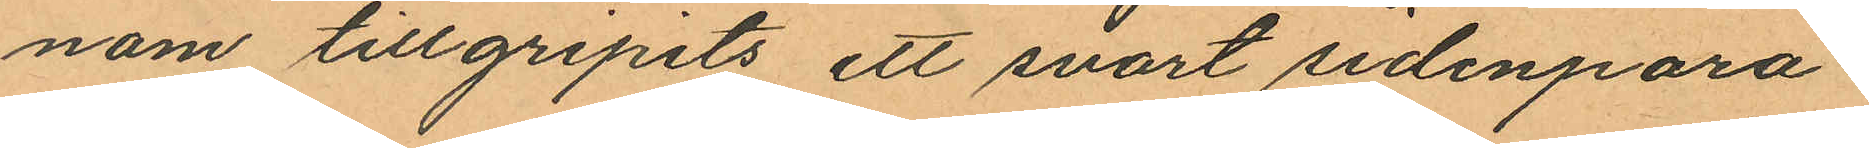nom tillgripits ett svart sidenpara¬
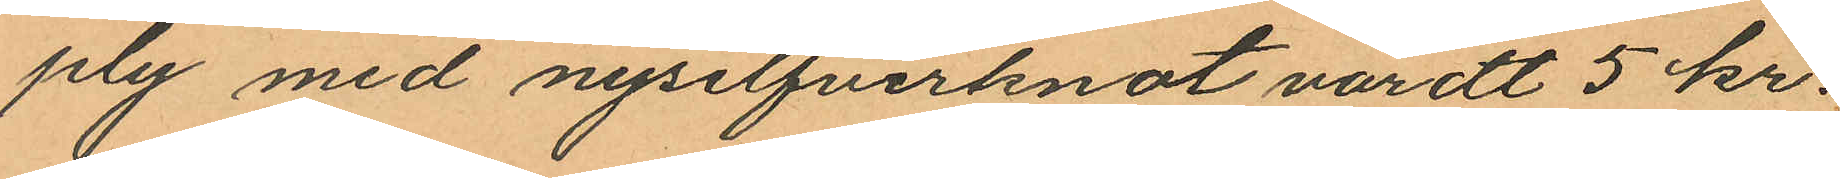ply med nysilfverknot värdt 5 kr.
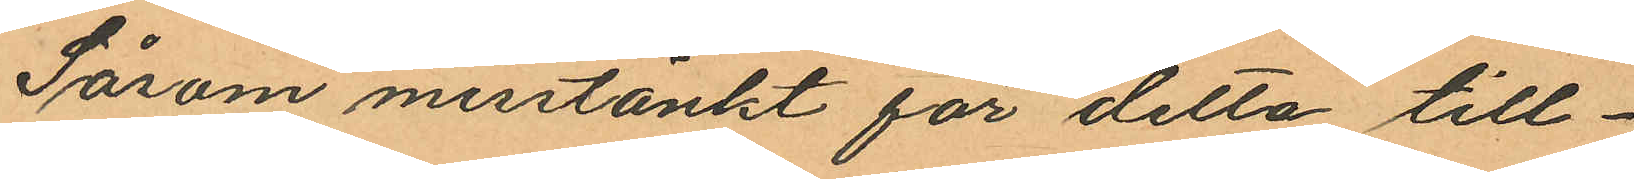Såsom misstänkt för detta till¬
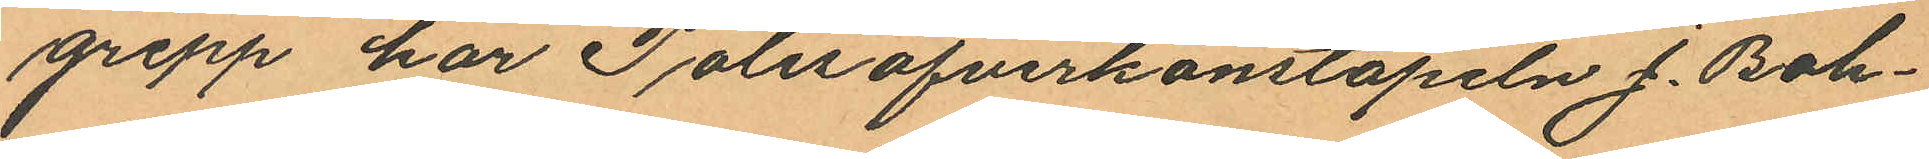grepp har Polisöfverkonstapeln J. Boh¬
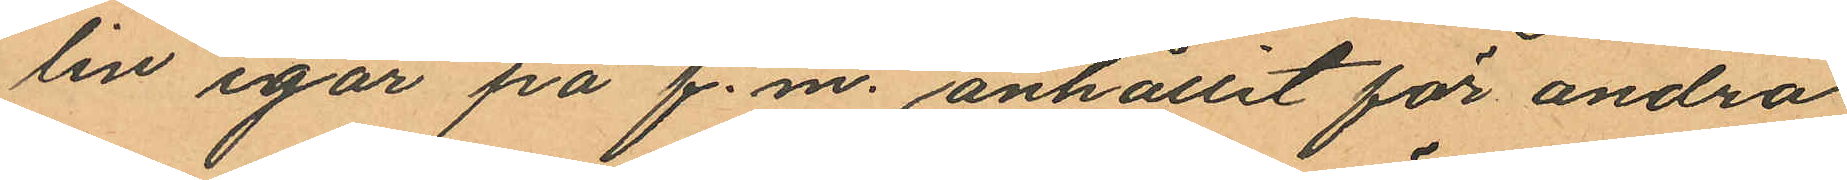lin igår på f.m. anhållit för andra
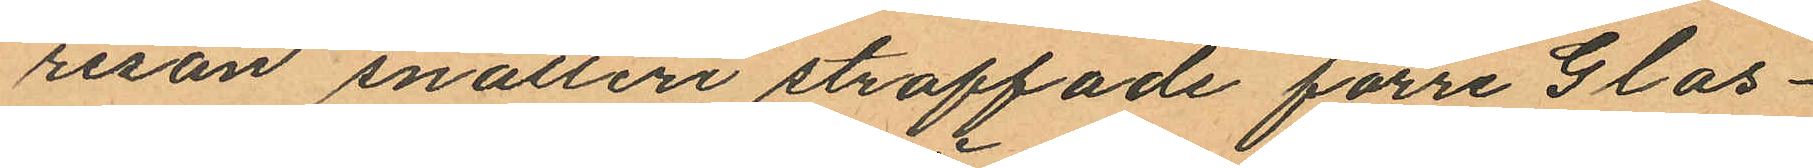resan snatteri straffade förre Glas¬
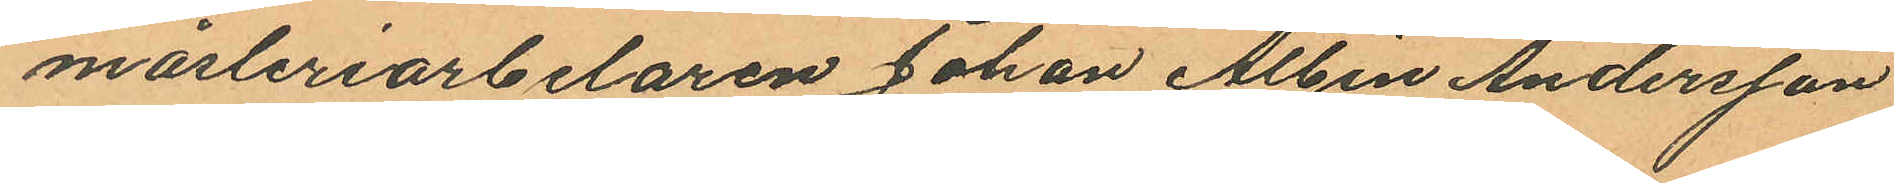mäsleriarbelaren Johan Albin Andersson
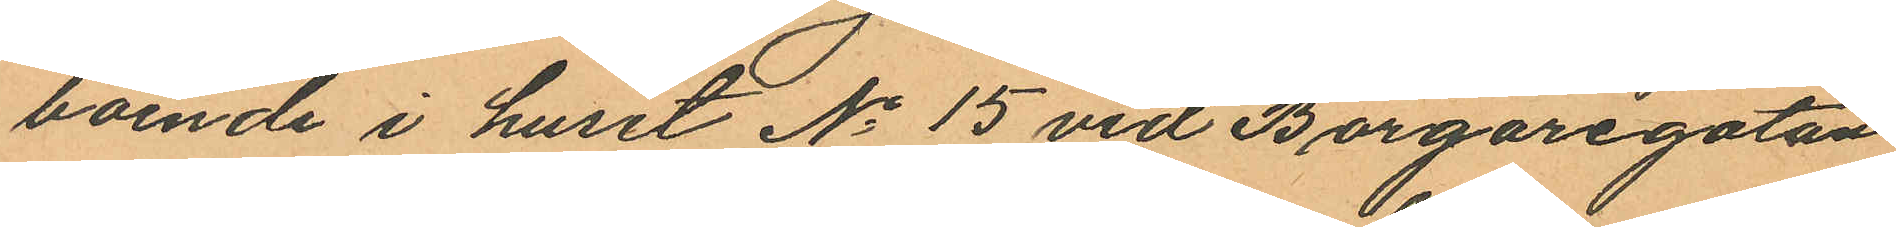boende i huset No 15 vid Borgaregatan
